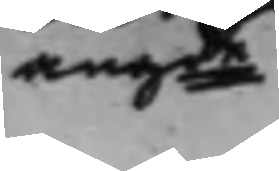angde
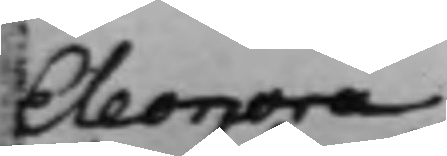Eleonora
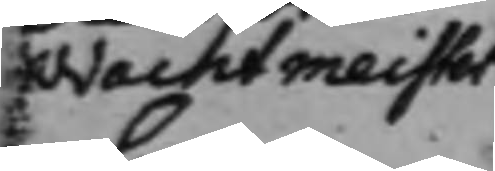Wachtmeister
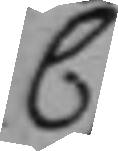C.
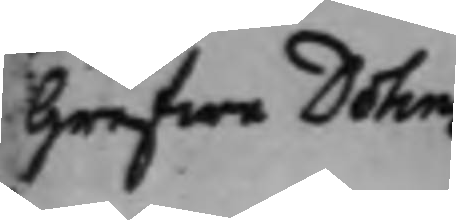Grefwe Dohna
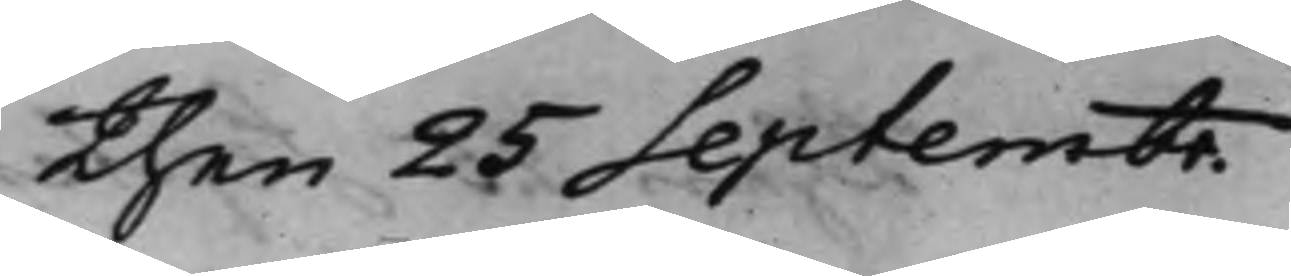then 25 Septembr.
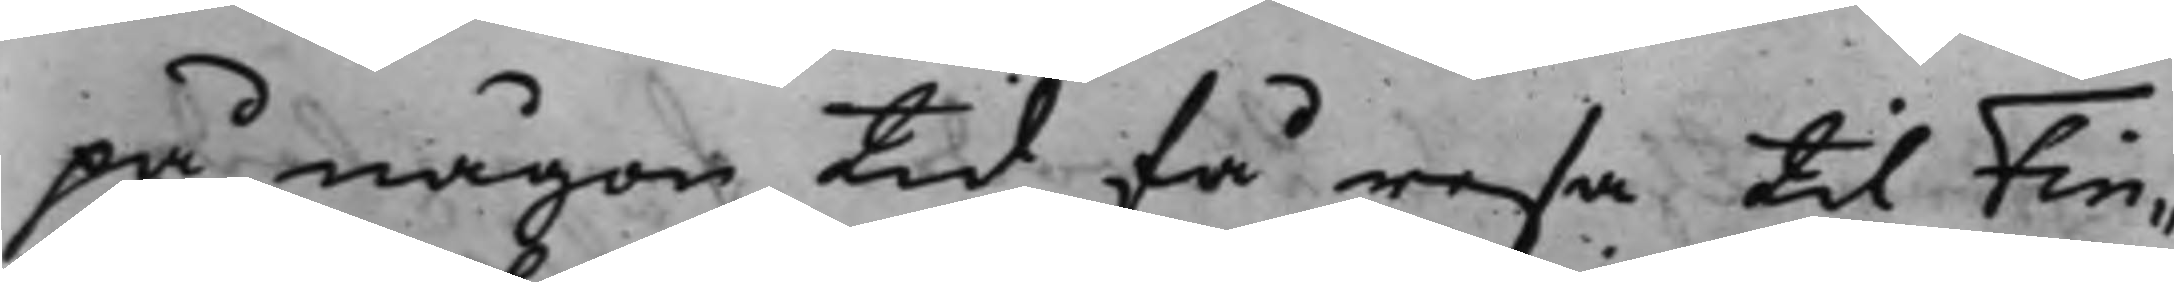på någon tid få resa till Fin¬
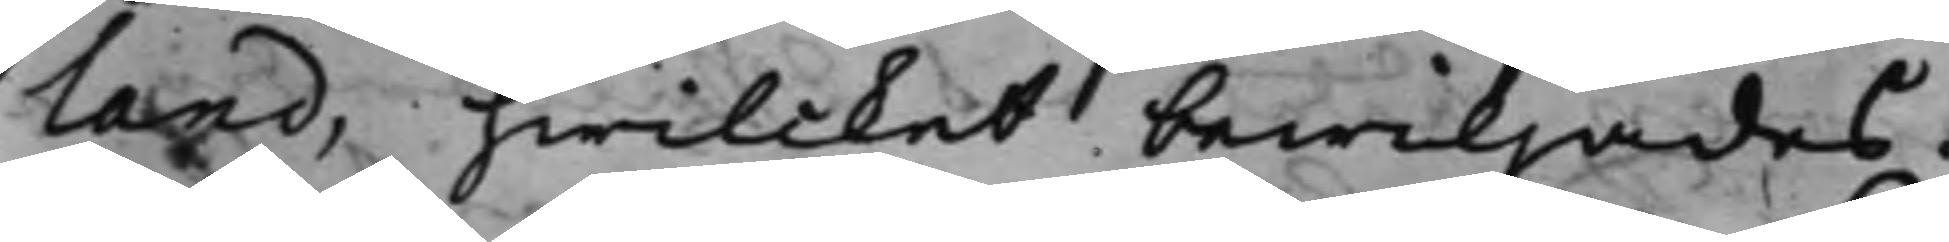land, hwilcket bewiljades.
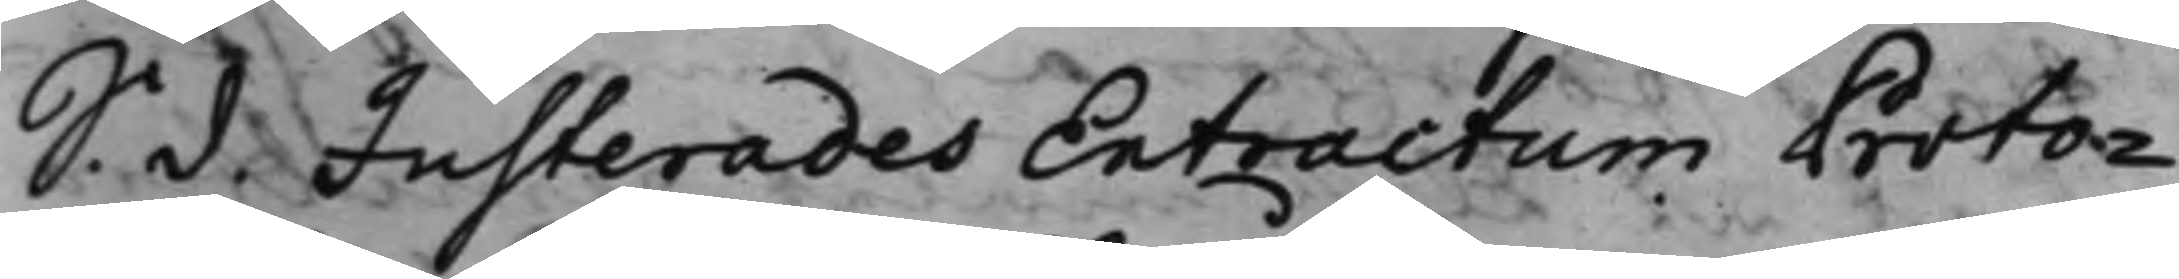S. d. Justerades Extractum Proto¬
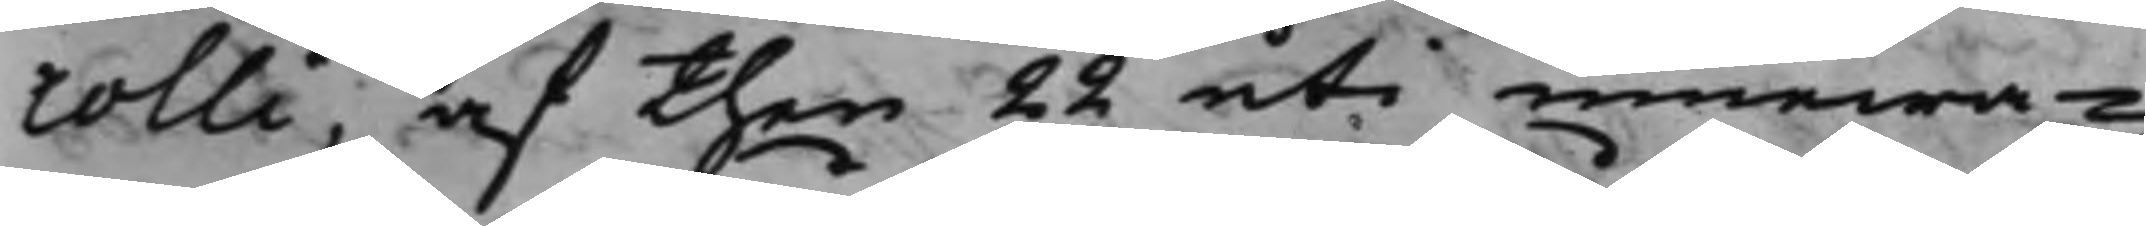colli, af then 22 uti innewa¬
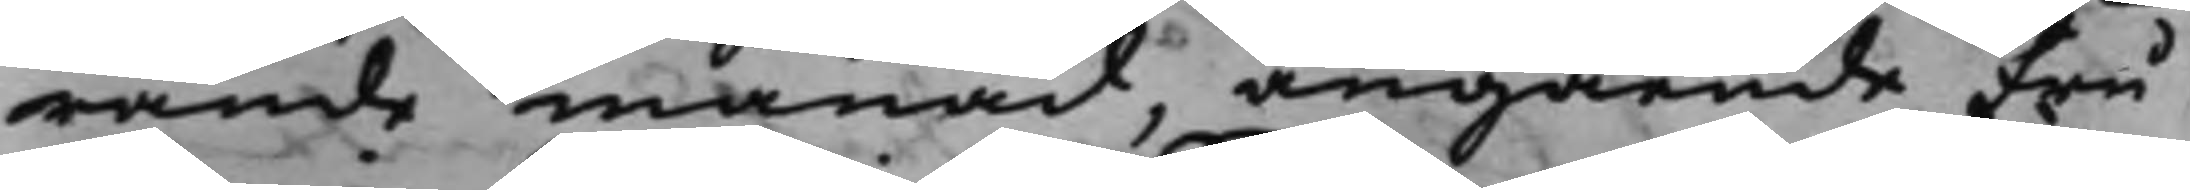rande månad, angående Fru
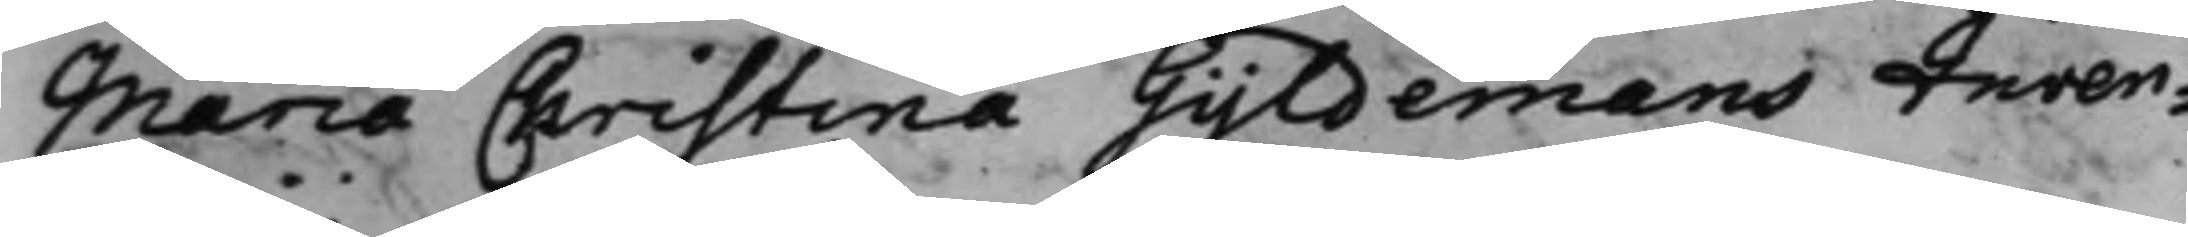Maria Christina Gyldemans Inven¬
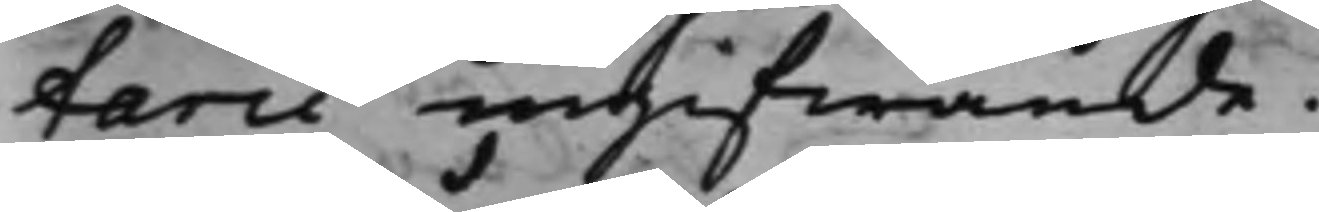tarii ingifwande.
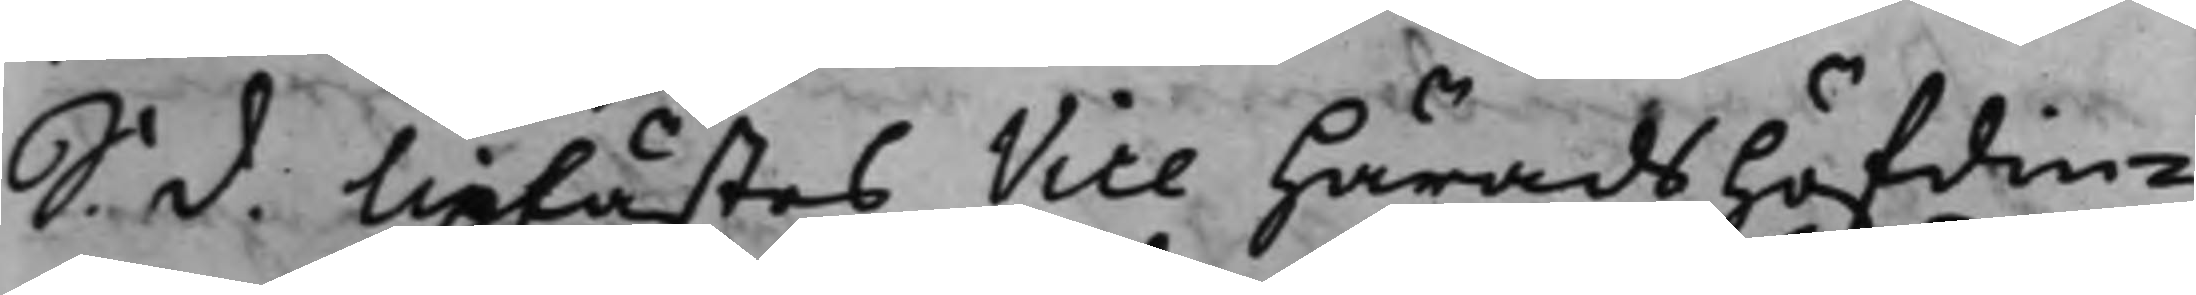S. d. Uplästes Vice Häradshöfdin¬
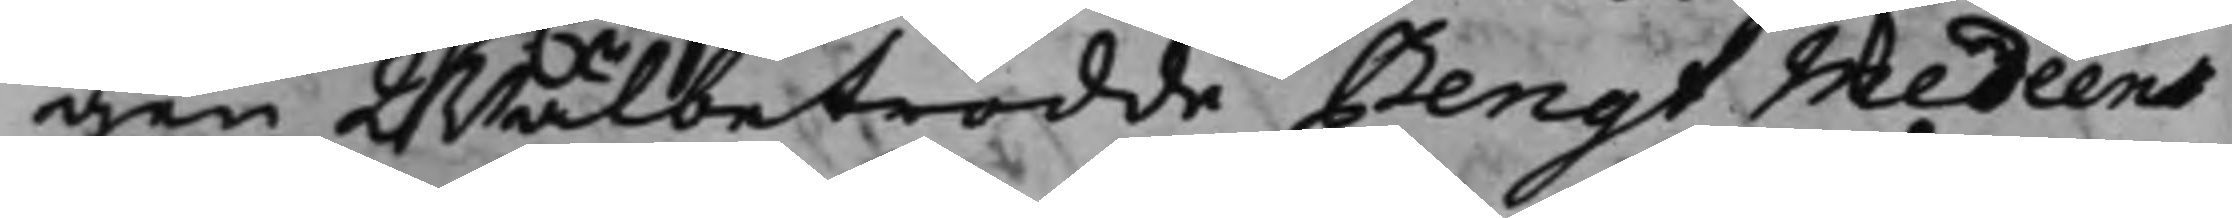gen Wälbetrodde Bengt Medeens
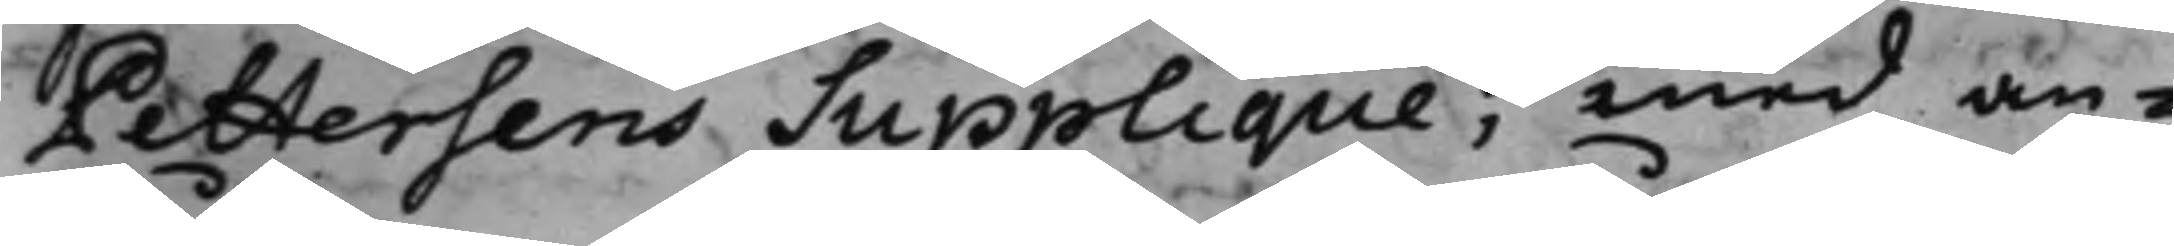Pettersens Supplique, med an¬
